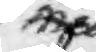med
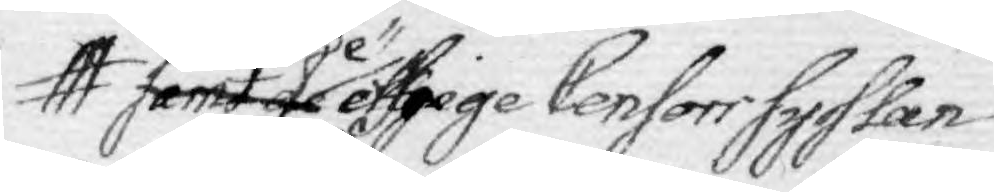samt de öfrige Censori sysslan
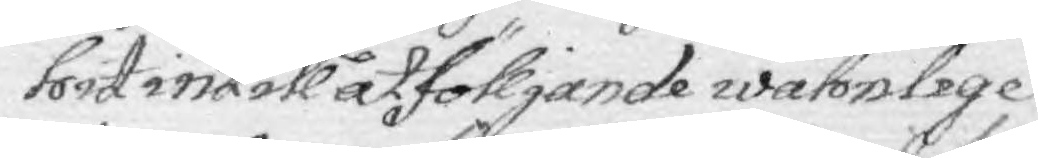hit intill elljest åtföljande wahnlige
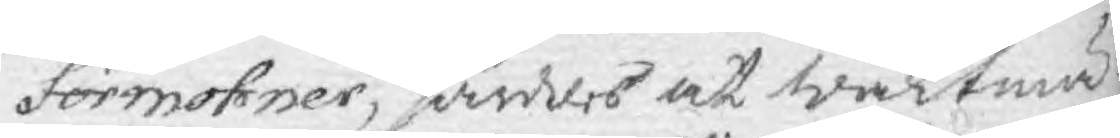förmohner, sänkes at Waktmä¬
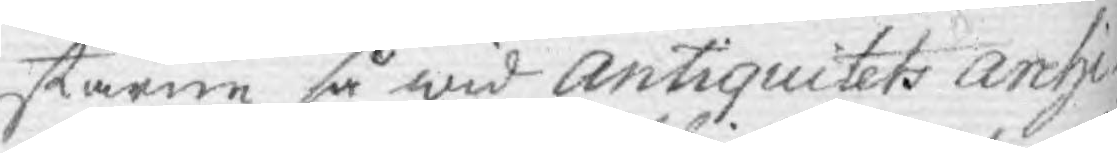starne så wid Antiquitets Archi¬
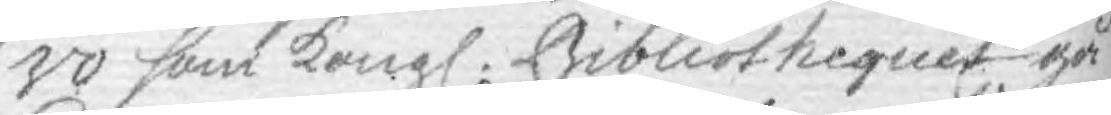vo som Kongl. Bibliothequet gå
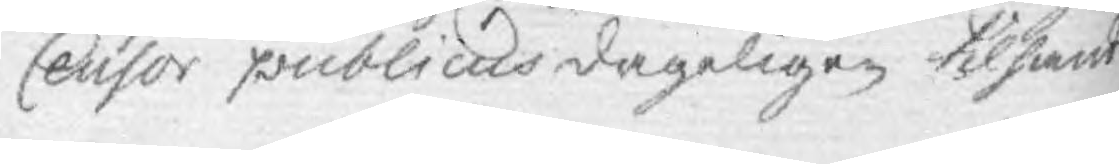Censor publicus dageligen tilhanda
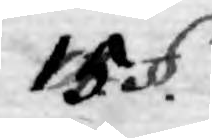15. §.
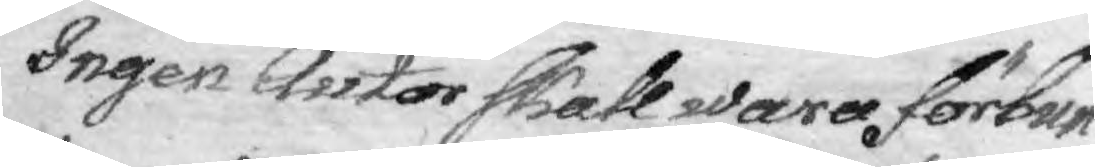Ingen Autor skall wara förhan¬
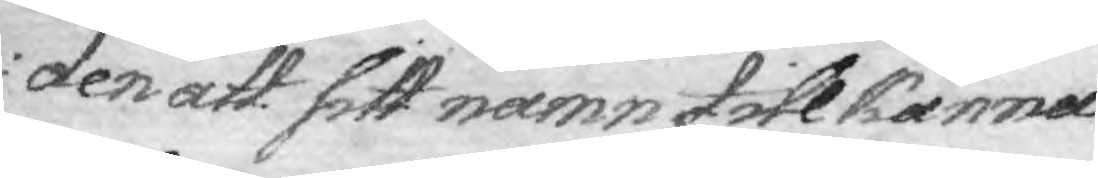den att sitt namn till känna
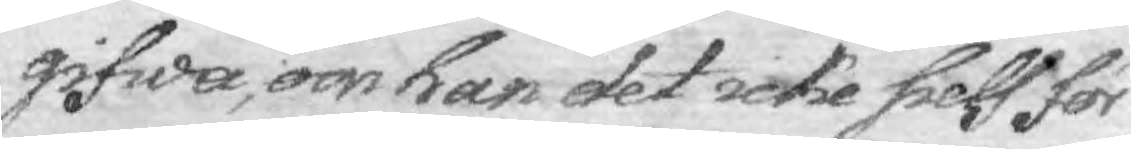gifwa, om han det icke sielf för
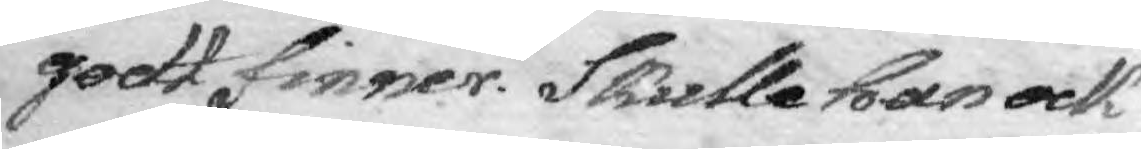godt finner. Skulle han ock
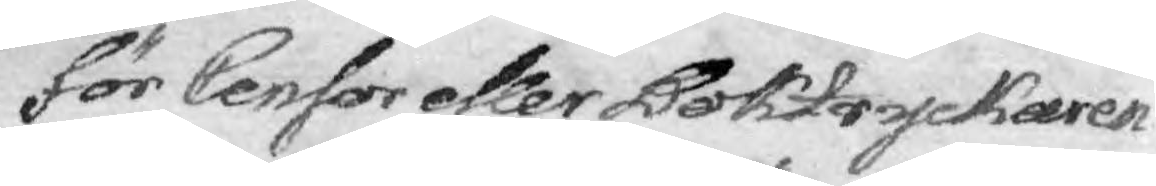för Censor eller Boktryckaren
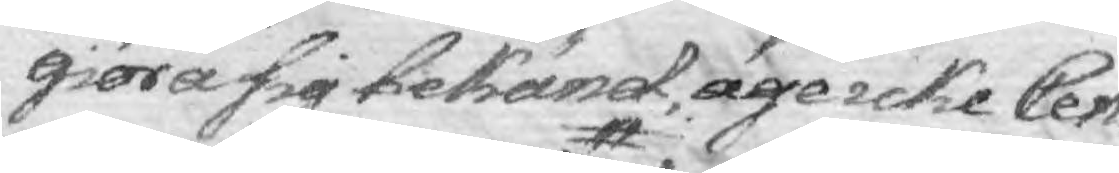giöra sig bekänd äge icke Cen¬
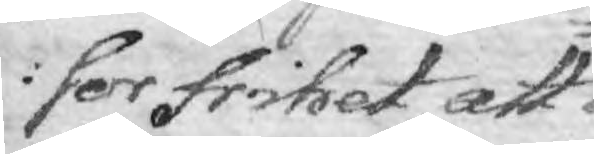sor frihet att
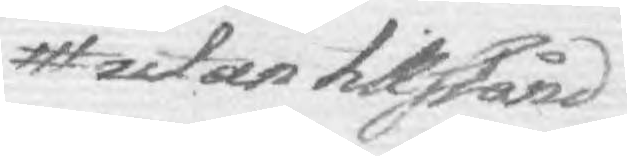utan tillstånd
